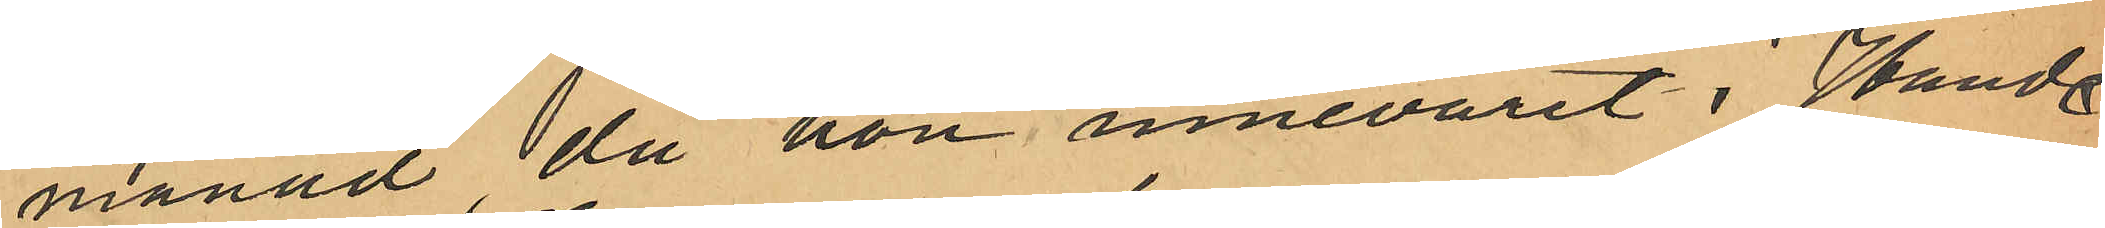månad, då hon innevarit i Hand¬
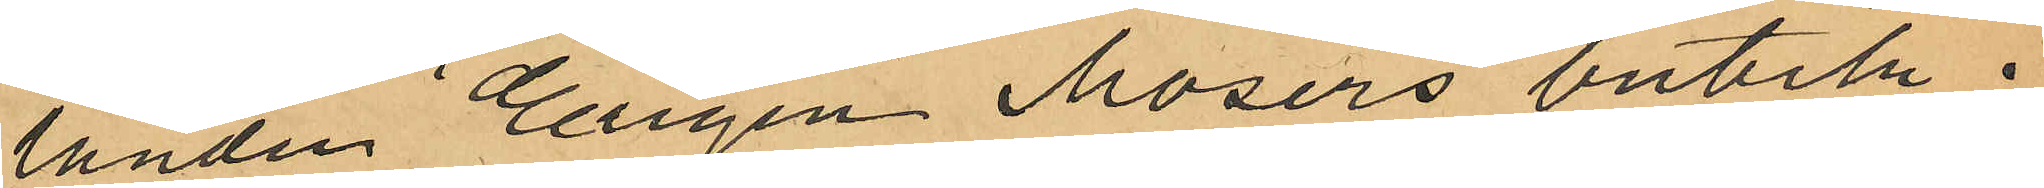landen Eugen Mosers butik i
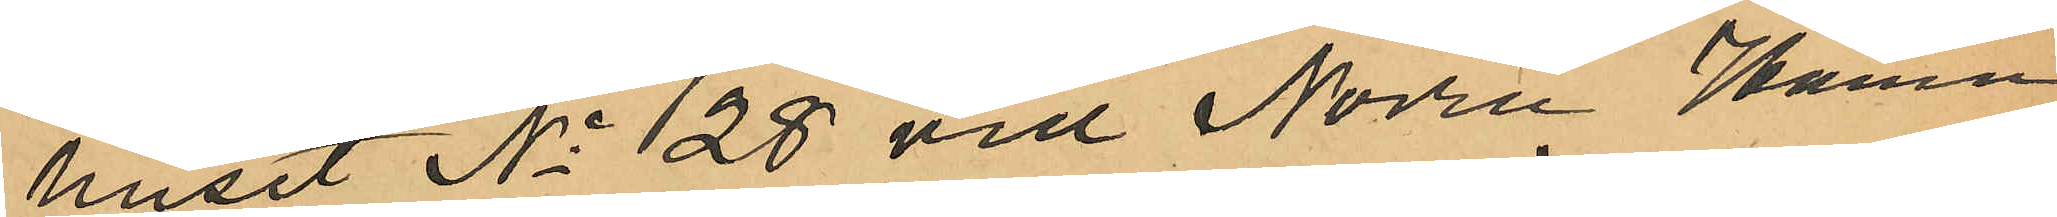huset No 28 vid Norra Hamn¬
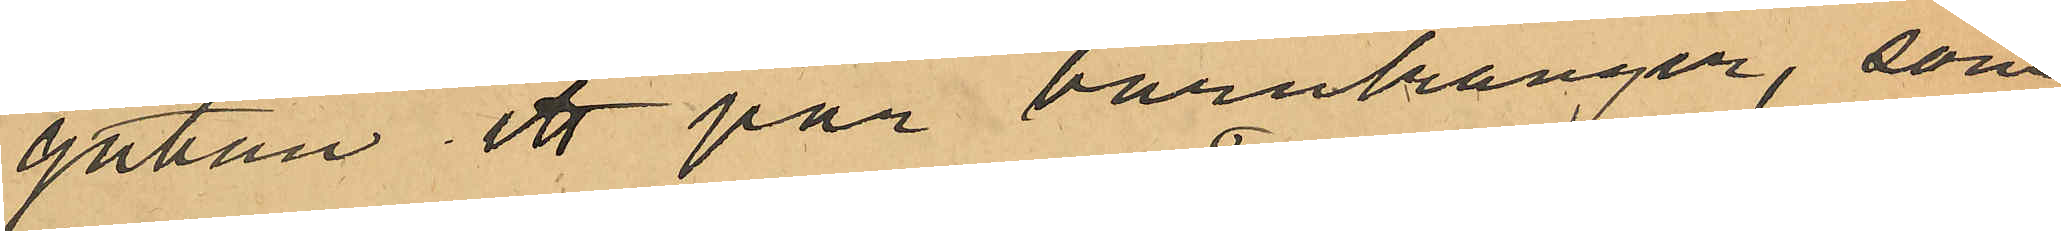gatan, ett par barnkänger, som
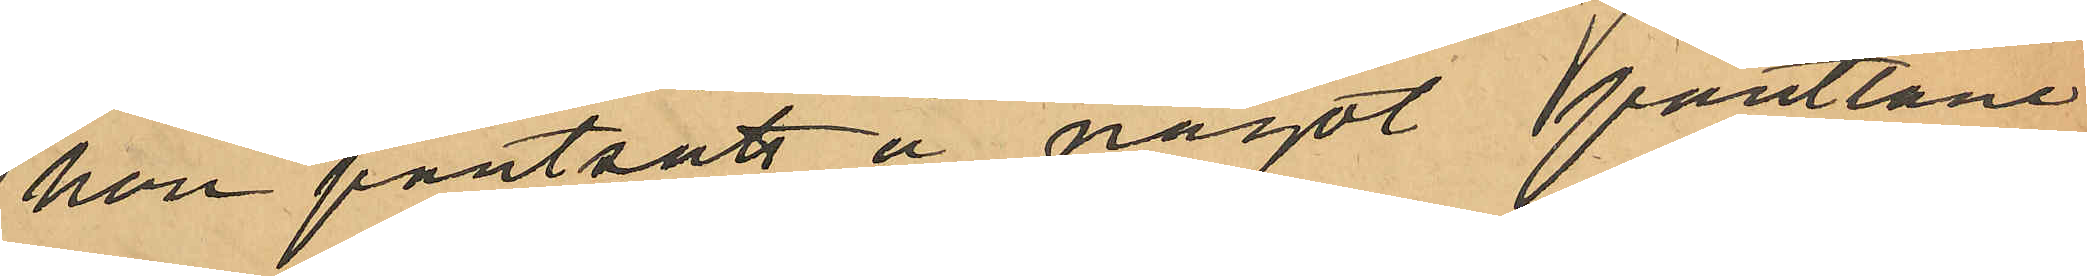hon pantsatt å något pantlåne¬
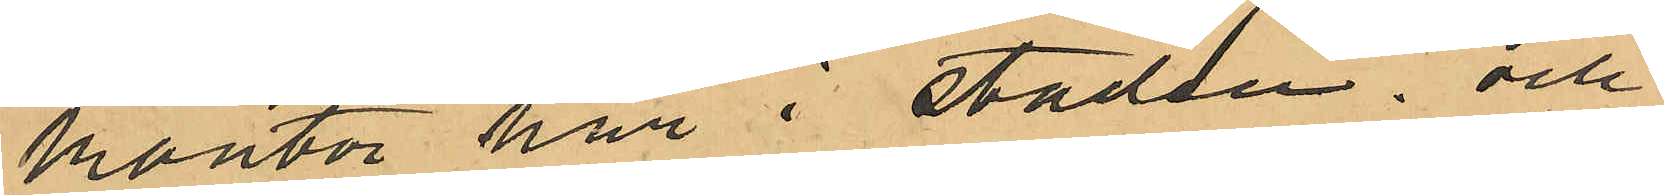kontor här i staden; och
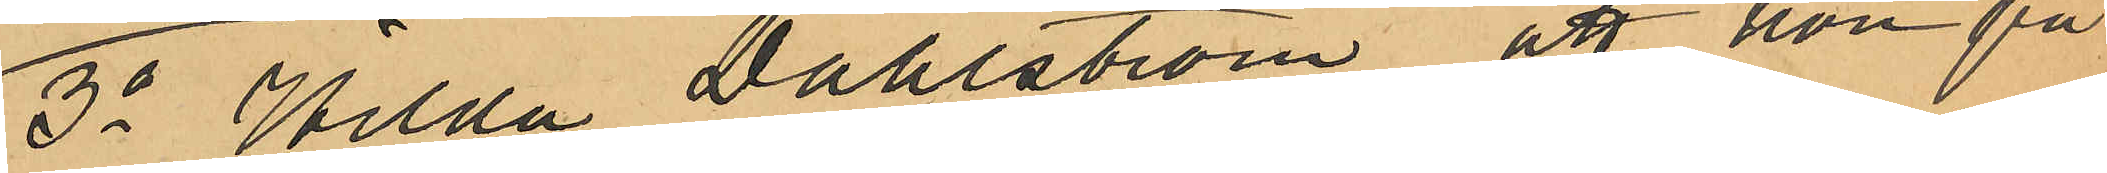3o Hilda Dahlström, att hon på
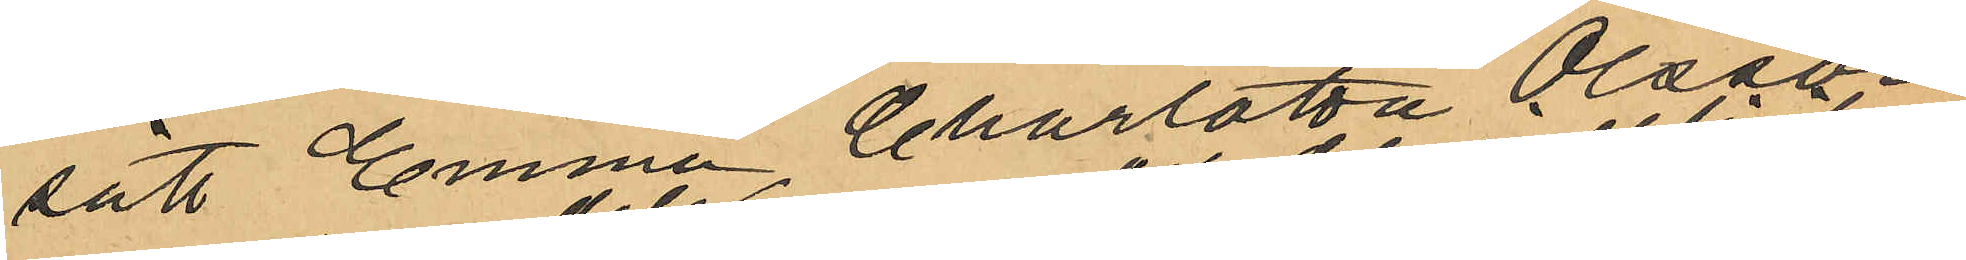sätt Emma Charlotta Olsson
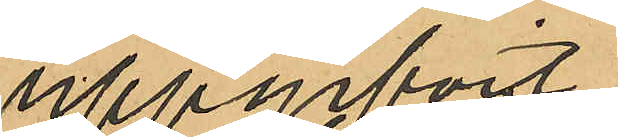uppgifvit
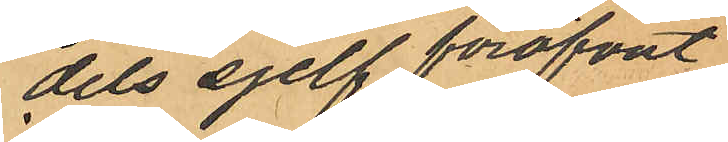dels sjelf föröfvat
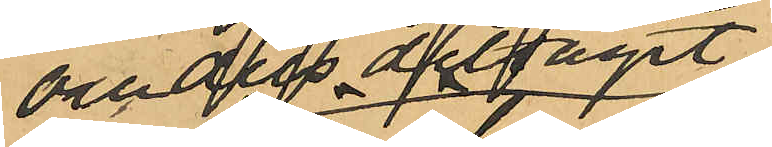och dels deltagit i
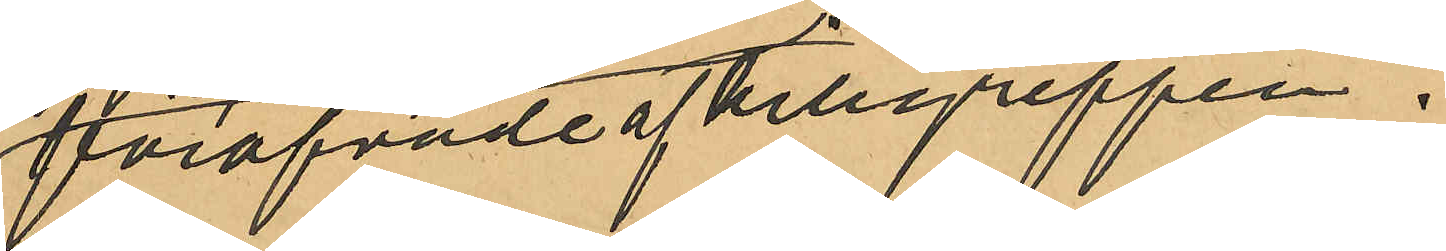föröfvande af tillgreppen.
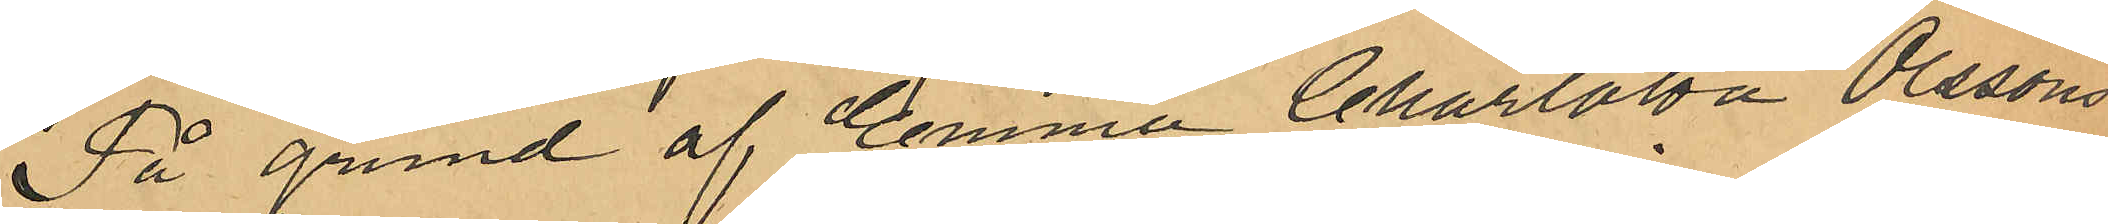På grund af Emma Charlotta Olssons
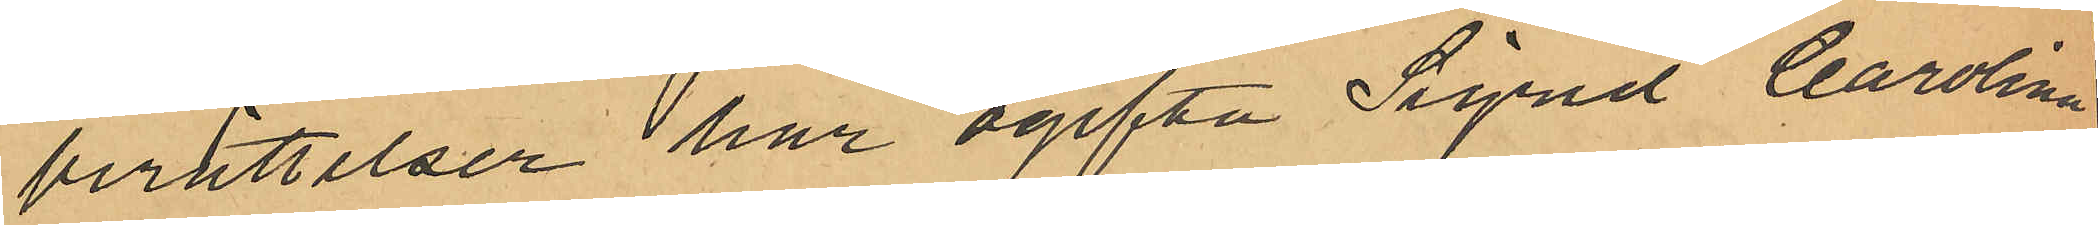berättelser har ogifta Sigrid Carolina
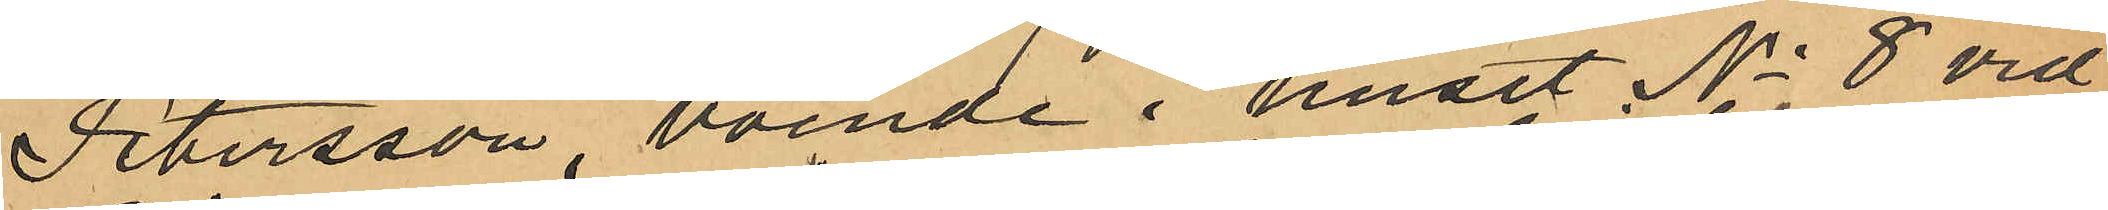Petersson, boende i huset No 8 vid
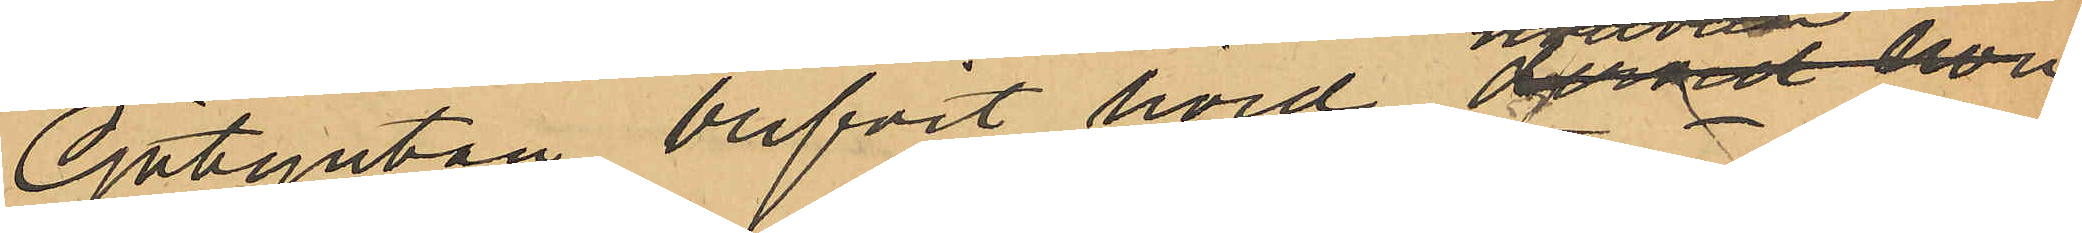Götgatan blifvit hörd dervid hon
